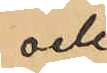och
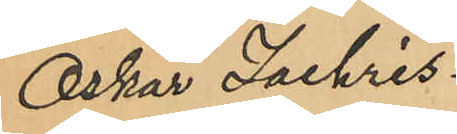Oskar Zachris¬
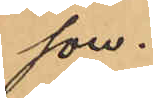son.
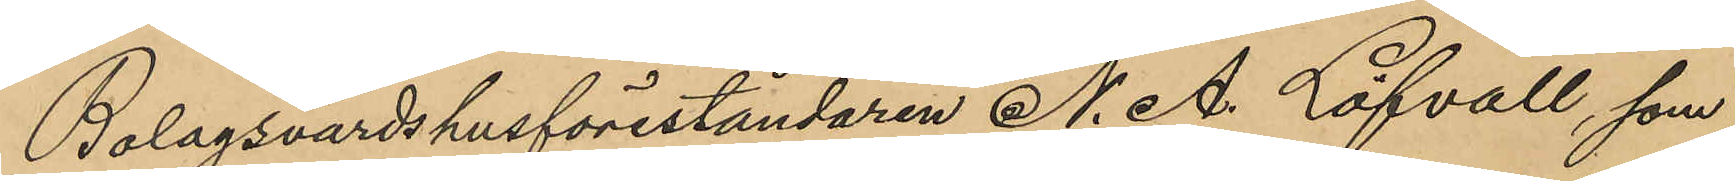Bolagsvärdshusföreståndaren N. A. Löfvall, som
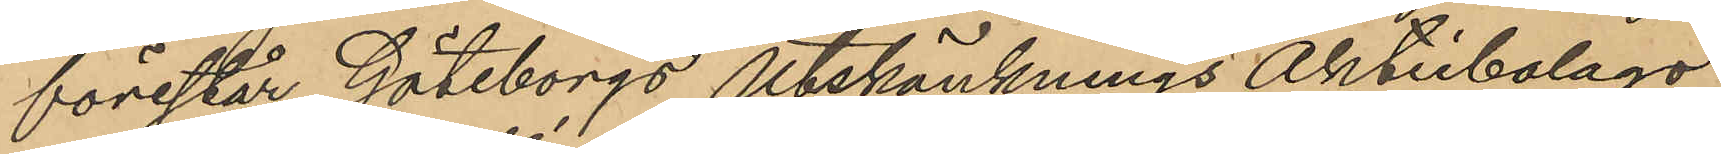förestår Göteborgs Utskänknings Aktiebolags
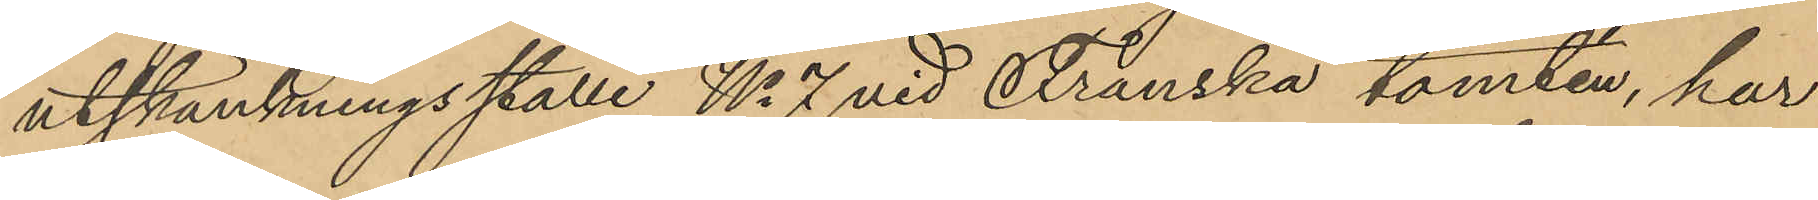utskänkningsställe No 7 vid Franska tomten, har
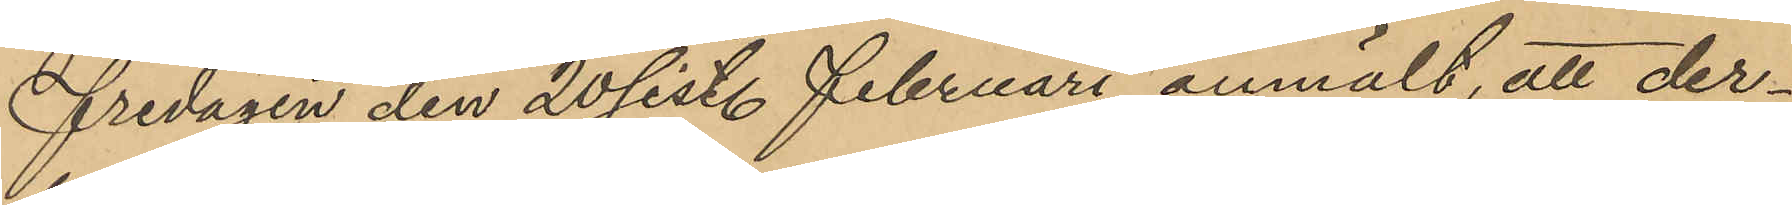fredagen den 20 sist. februari anmält, att der¬
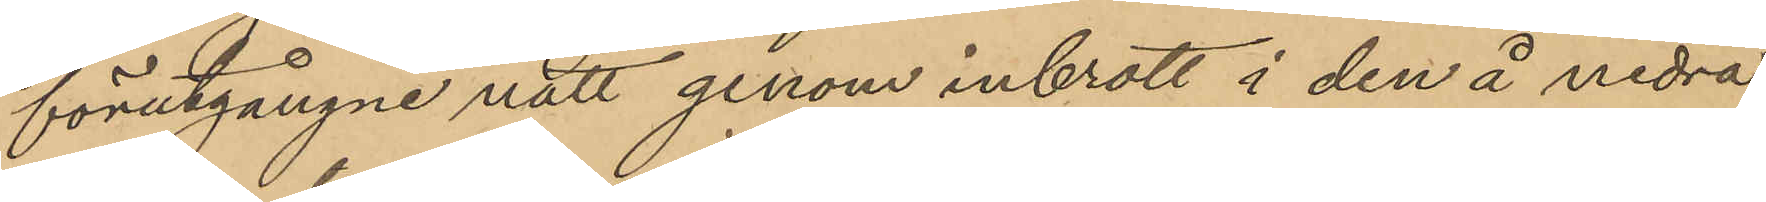förutgångne natt genom inbrott i den å nedra
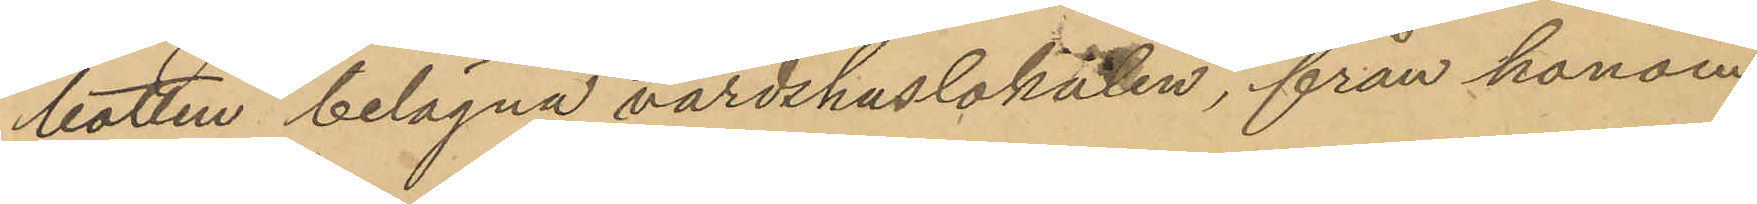botten belägna värdshuslokalen, från honom
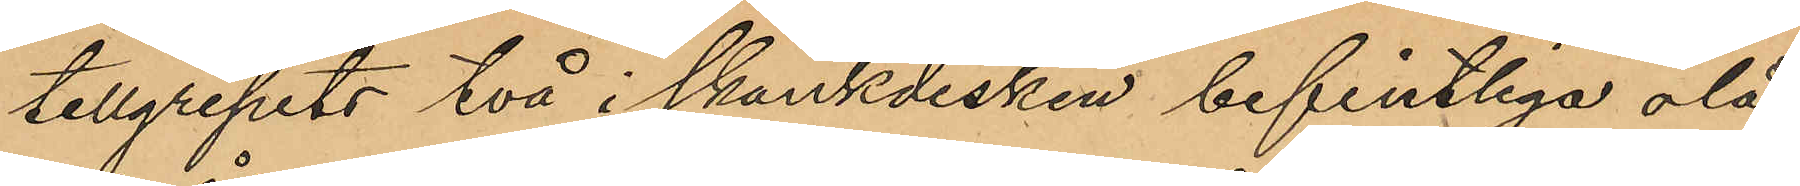tillgripits två i skänkdisken befintliga olå¬
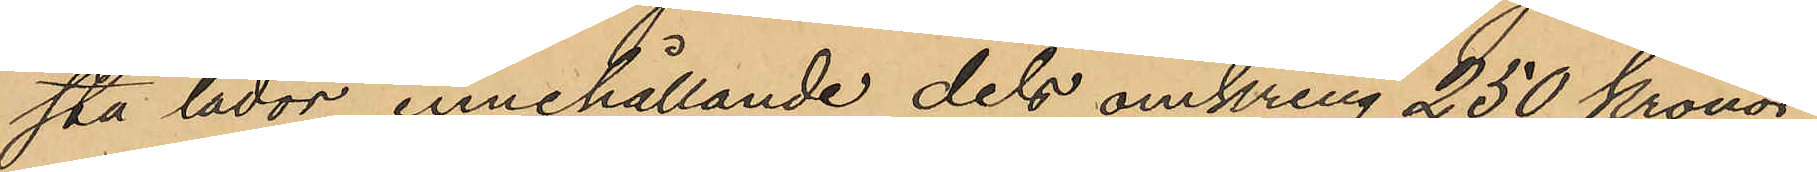sta lådor innehållande dels omkring 250 kronor
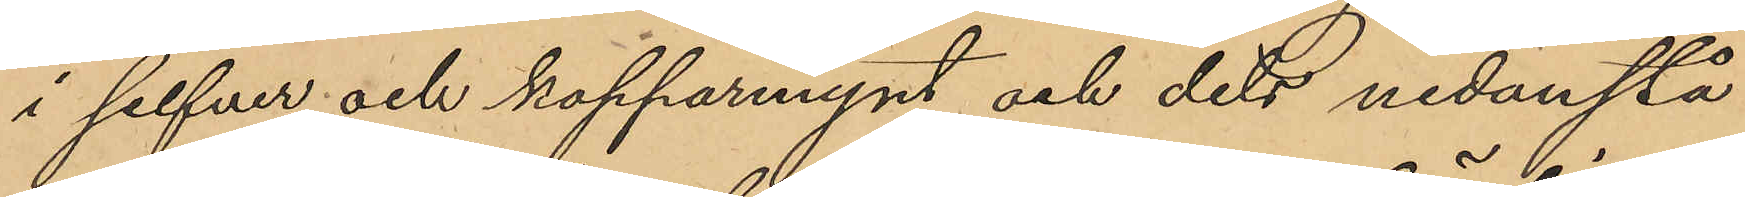i silfver och kopparmynt och dels nedanstå¬
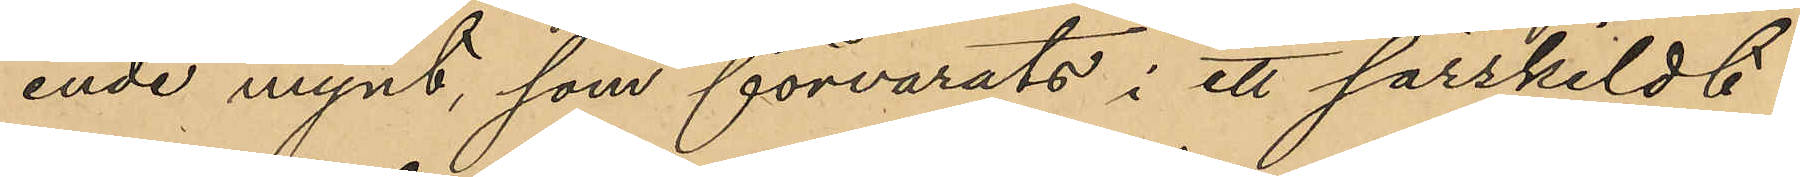ende mynt, som förvarats i ett särskildt
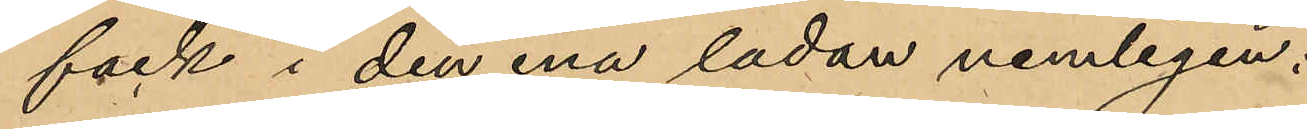fack i den ena ladan nemligen:
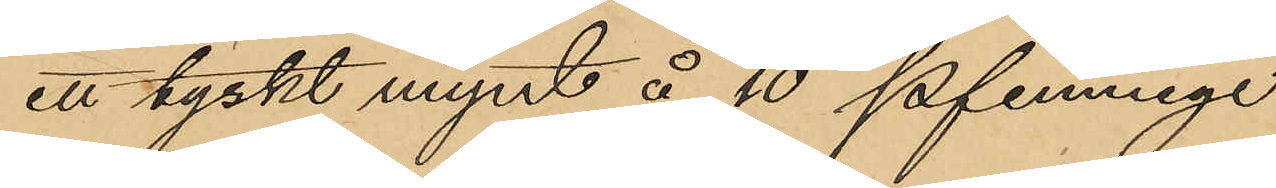ett tyskt mynt å 10 pfennige
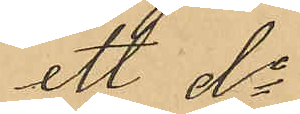ett do
